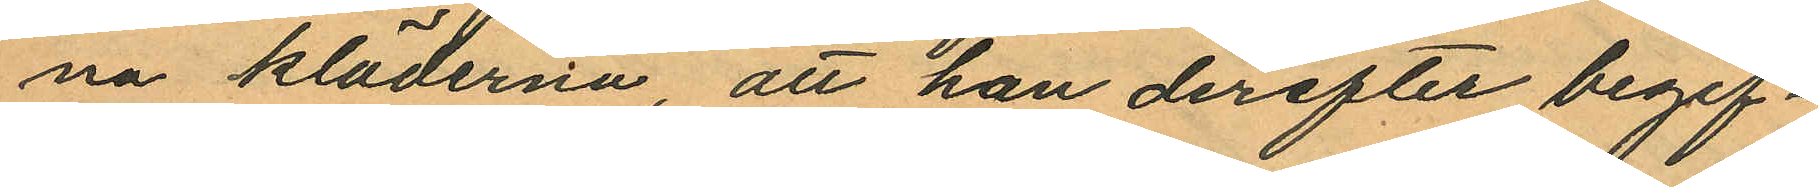na kläderna, att han derefter begif¬
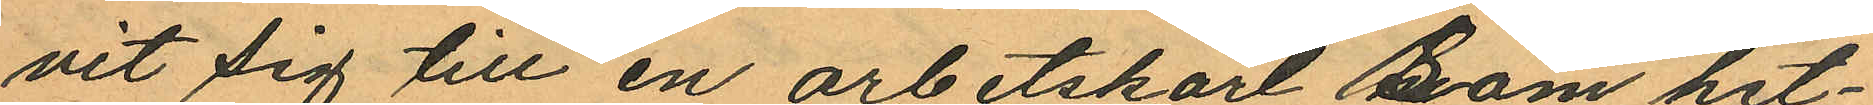vit sig till en arbetskarl som het¬
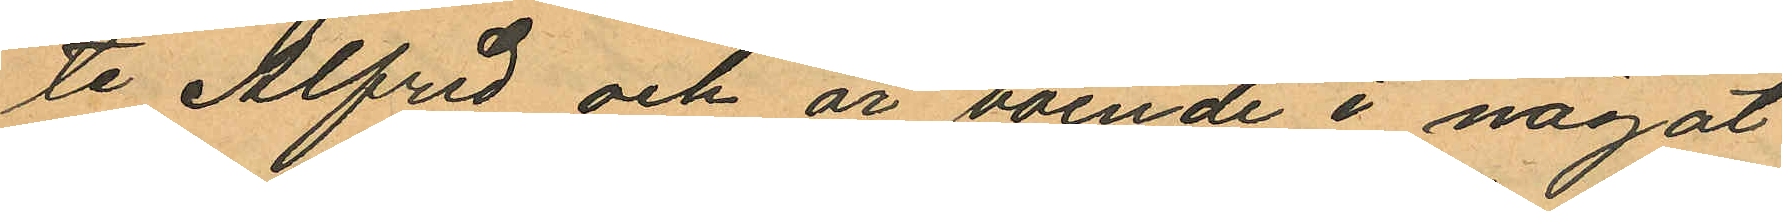te Alfred och är boende i något
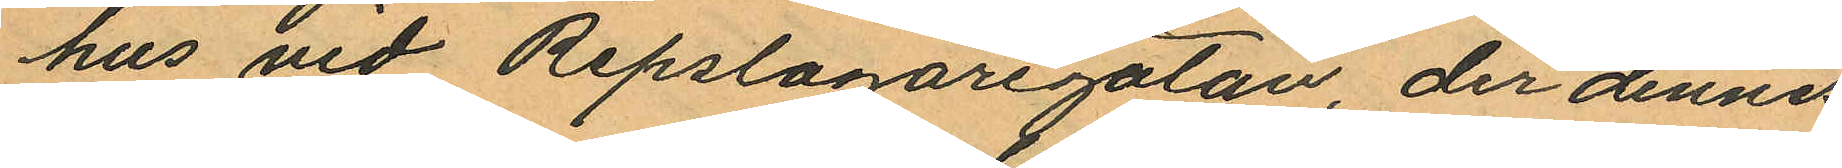hus vid Repslagaregatan, der dennes
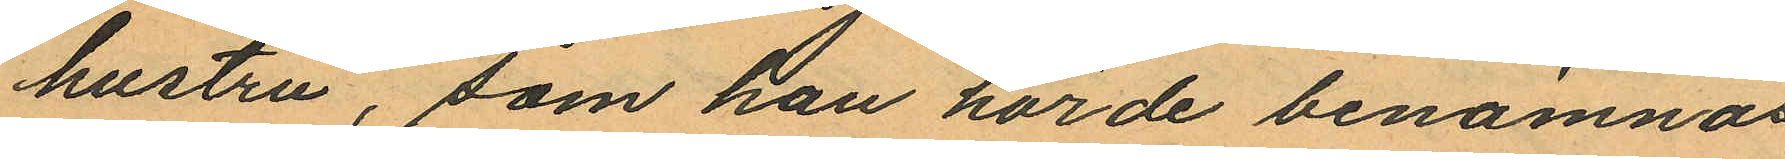hustru, som han hörde benämnas
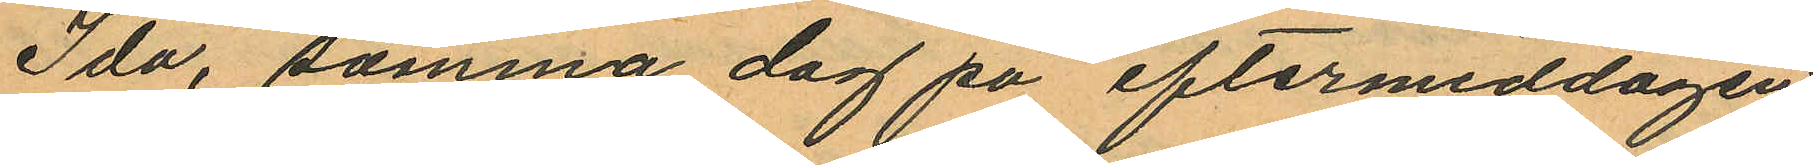Ida, samma dag på eftermiddagen
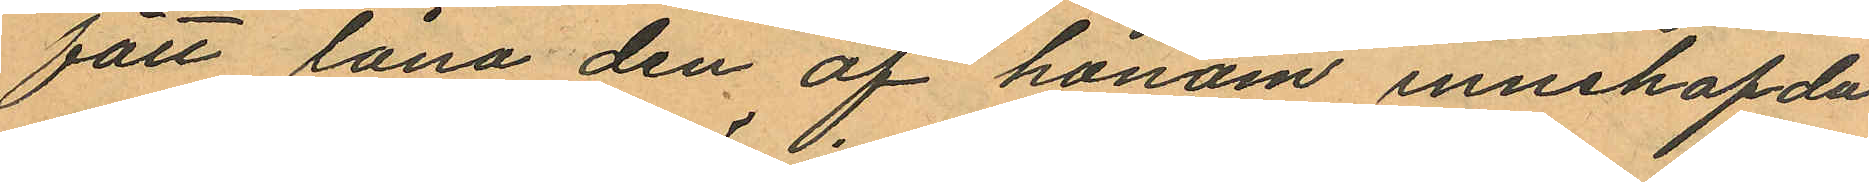fått låna den af honom innehafda
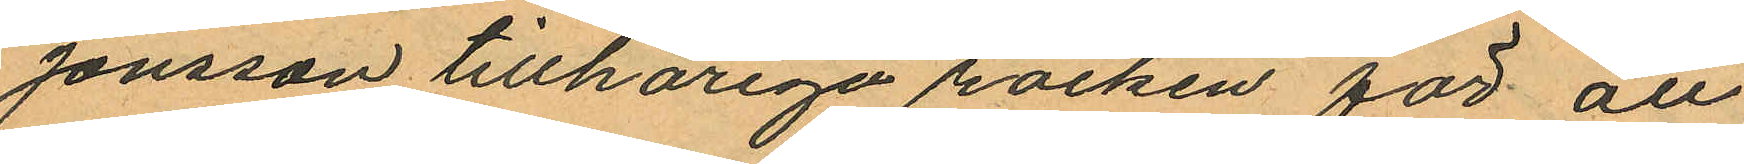Jonsson tillhöriga rocken för att
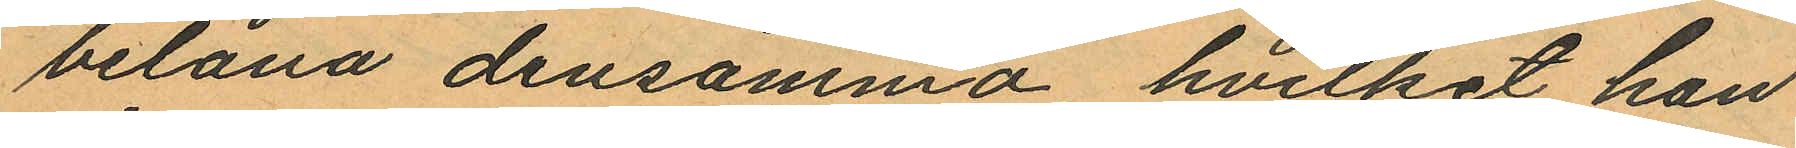belåna densamma, hvilket hon
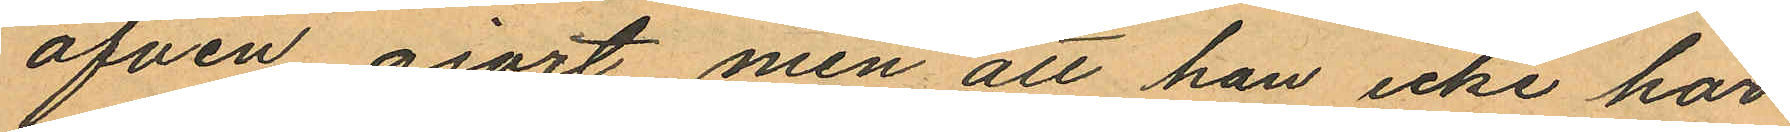äfven gjort, men att han icke har
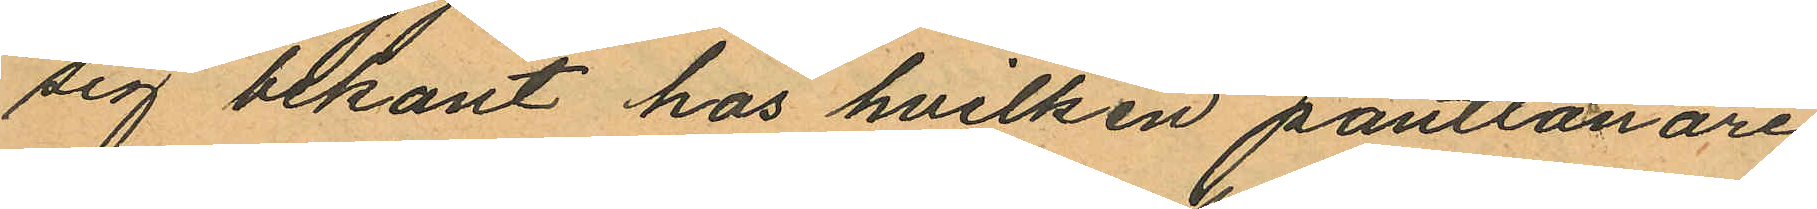sig bekant hos hvilken pantlånare
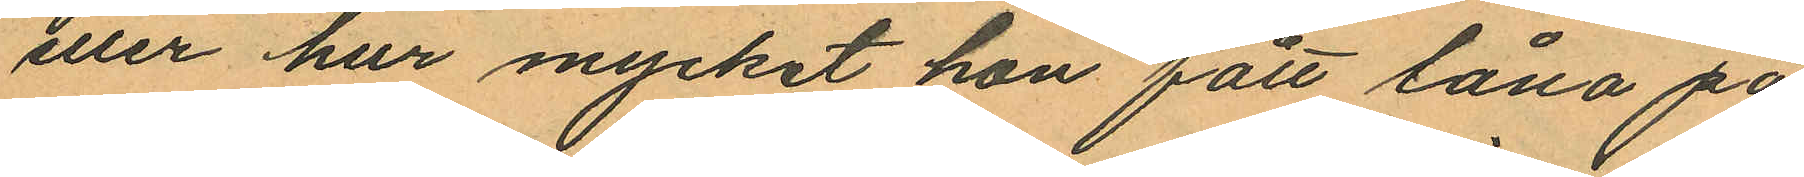eller hur mycket hon fått låna på
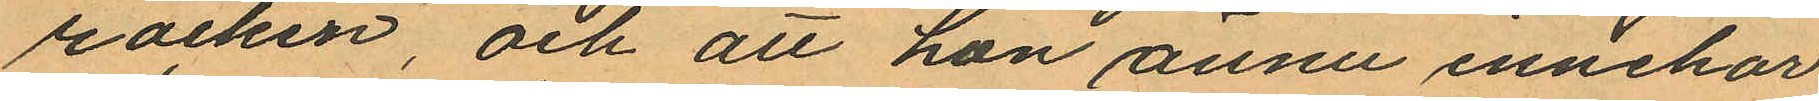rocken, och att hon ännu innehar
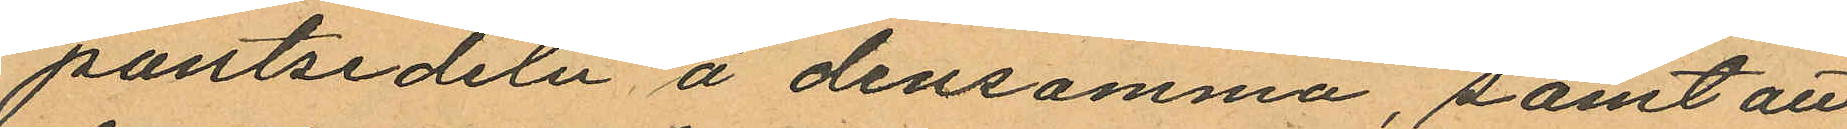pantsedeln å densamma, samt att
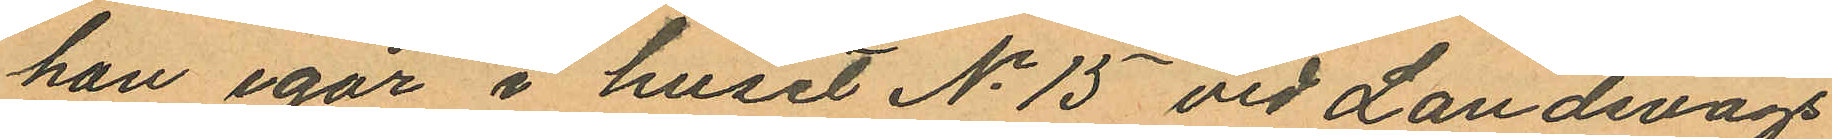han igår i huset No 15 vid Landsvägs
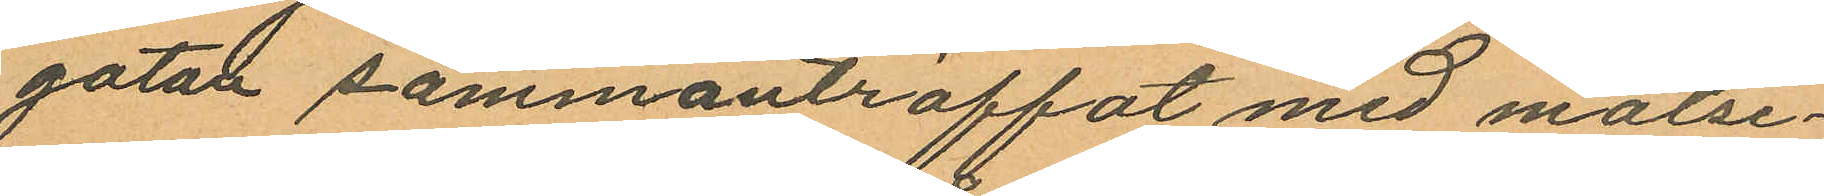gatan sammanträffat med målse¬
